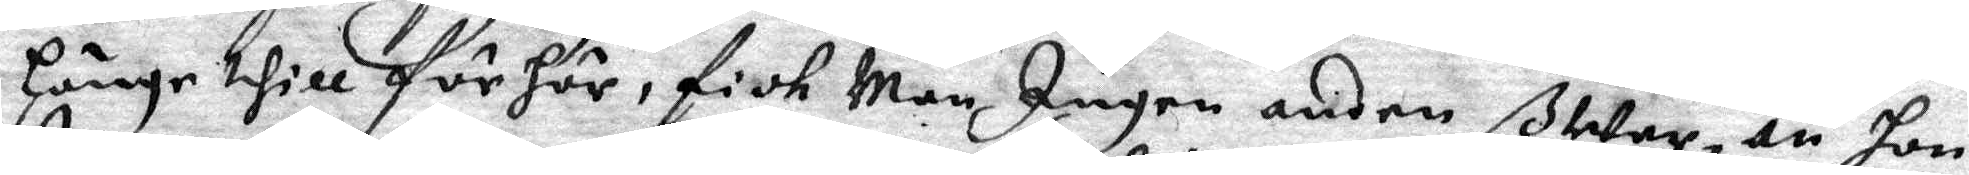Länge thill förhör, fick Man Ingen ander ßar, än hon
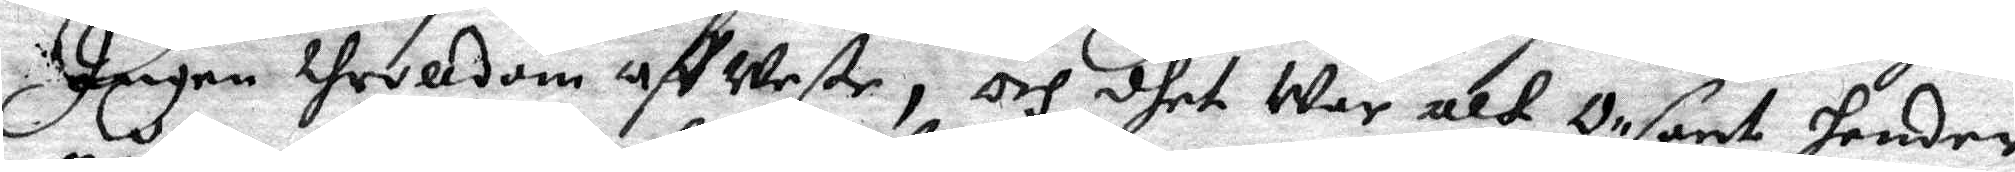Ingen throlldom affWete, och dhet War alt Osant hender
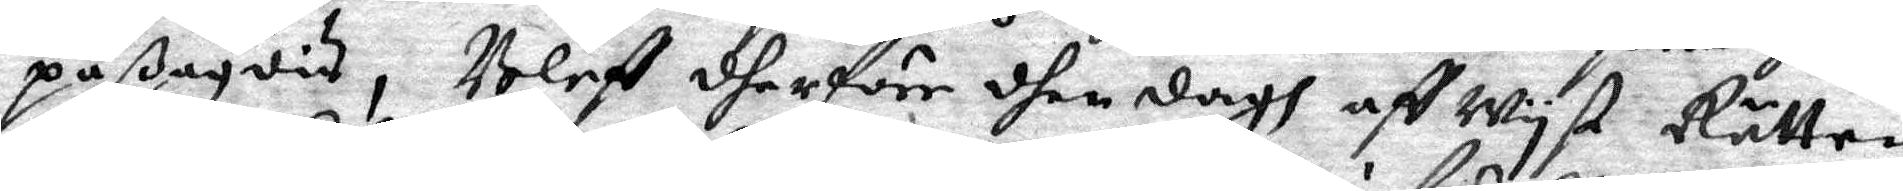påßagdis, Bleff dherföre dhen dahh affWyst Rätten
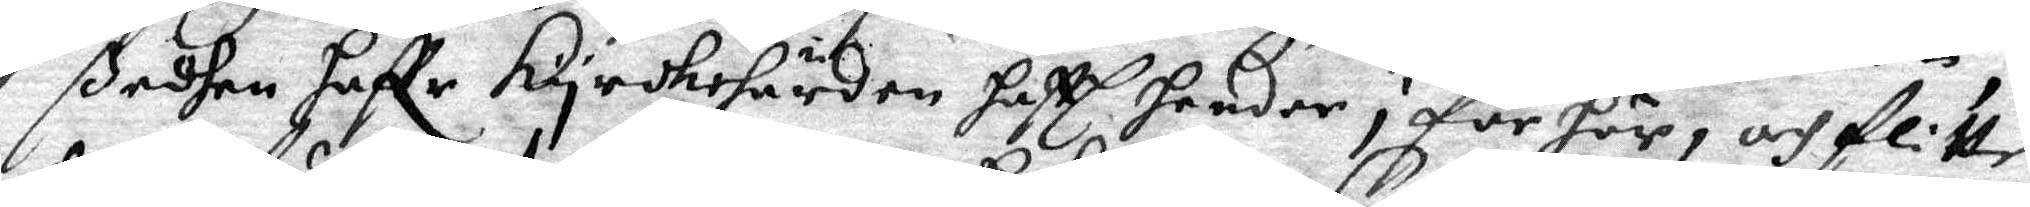ßedhaen haffr kyrkoherden hafft hender i förhör, och flitte¬
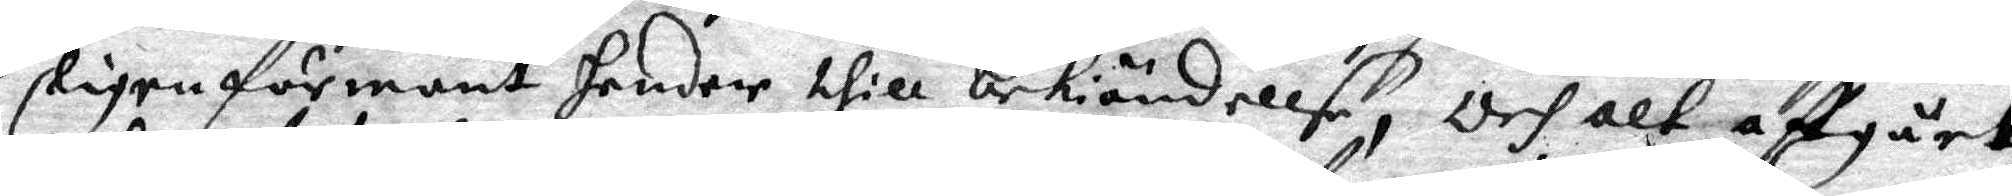ligen förmant hender thill bekiöndellse, Och alt affgået
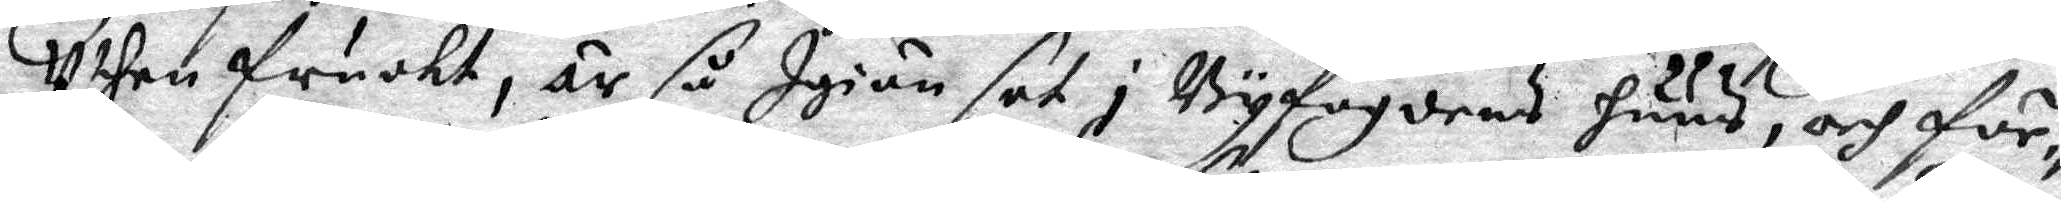Uthen fruoht, är så Iniän sat i Byfogdens huus, och för¬
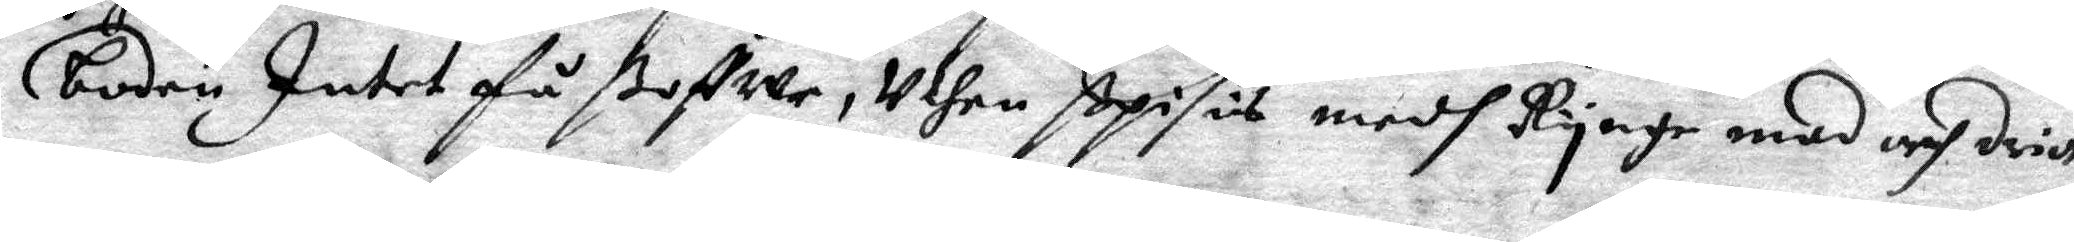boden Intet få ßoffwe, Uthen ßposes medh Ryege mad och drick,
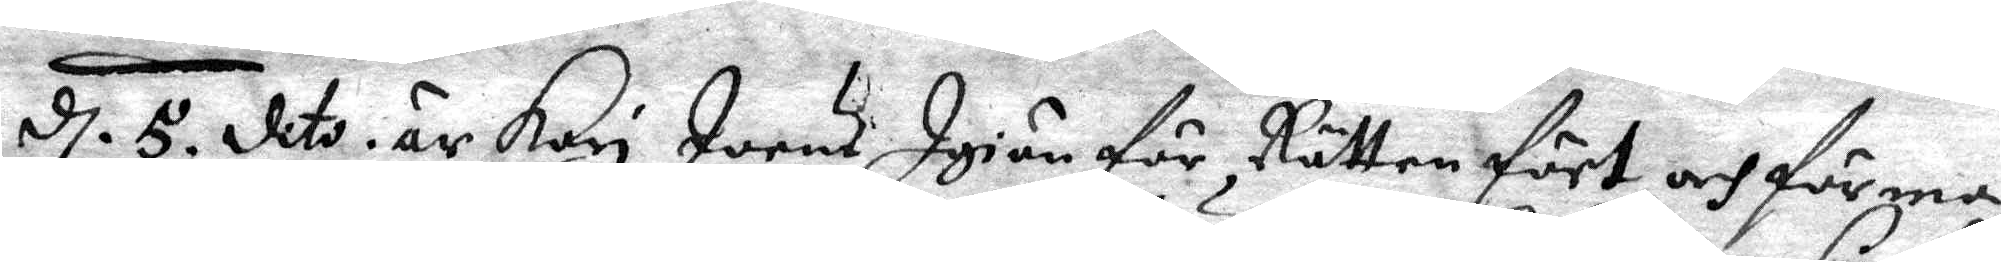d. 5. dito är Kari Joens Igiän för Rätten fört och förman¬
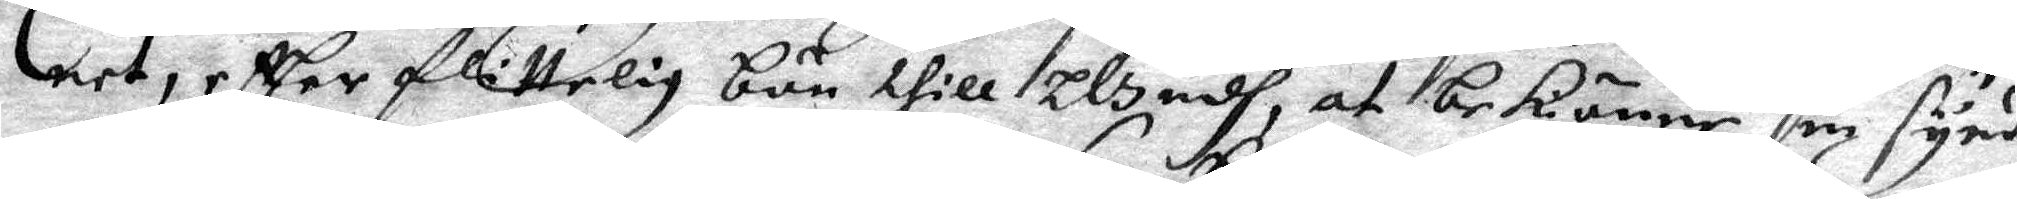net, effter flittelig bön thill Gudh, at bekiänne sin synd,
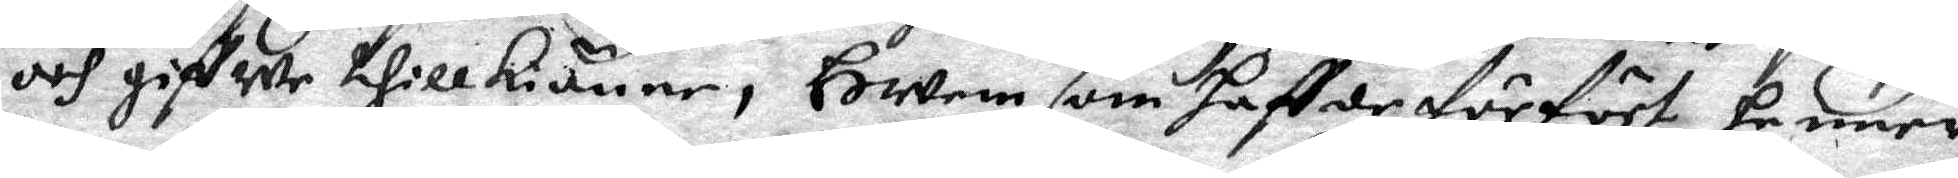och gifwe thillkiänne, Hwem som haffde förfört henne
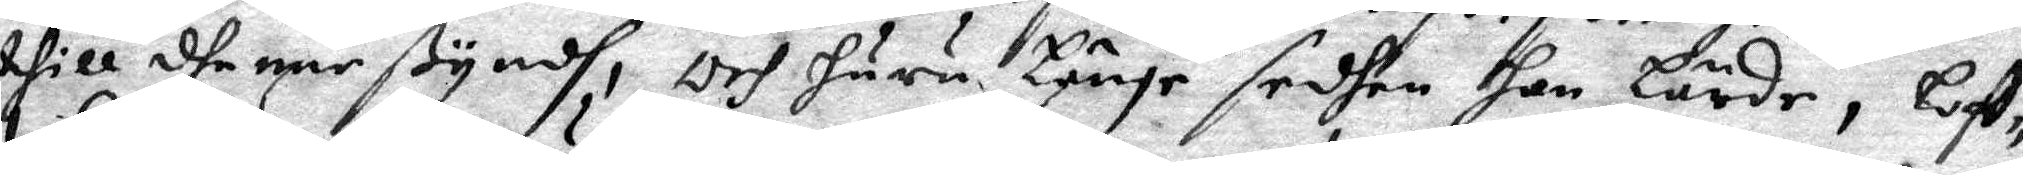thill dhenne ßyndh, och huru Länge sedhan hon Lärde, Loff¬
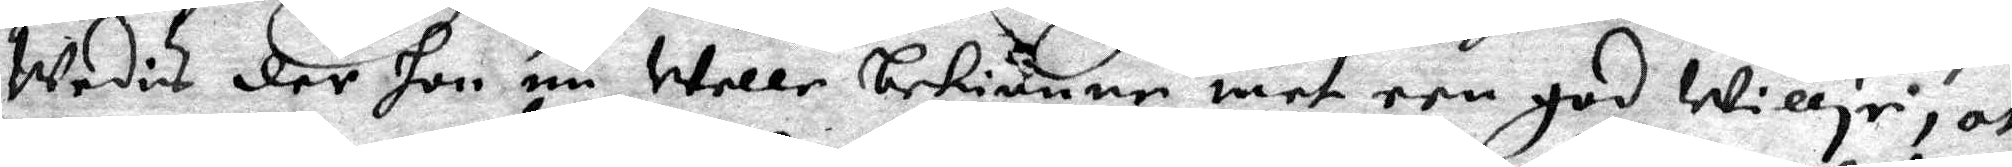Wedis der hon nu Welle bekiänne met een god Willje, at
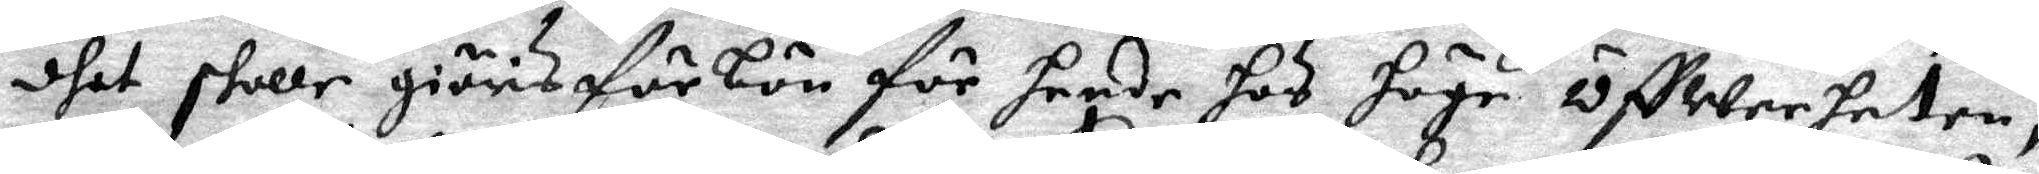dhet skull giöris förbön för hende hos höge ÖffWerheten,
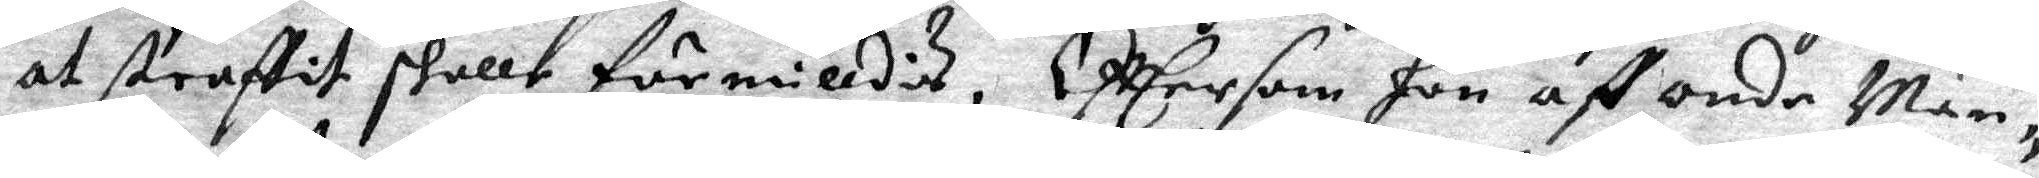at straffit skulle förmilldis, Efftersom hon aff onde Män¬
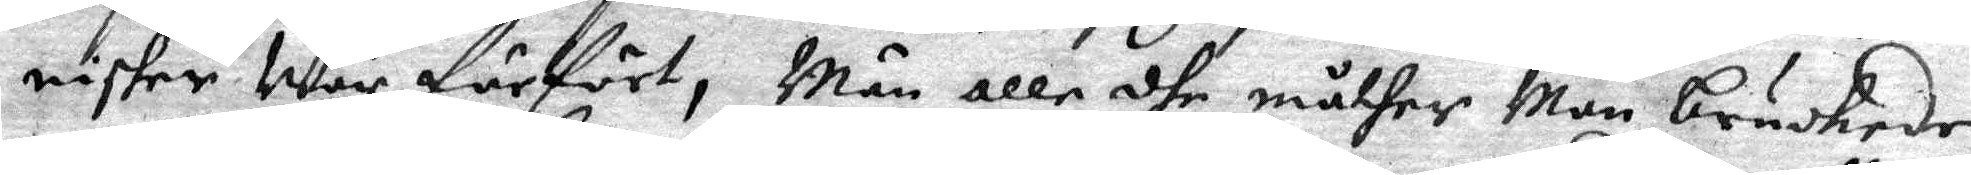nisker War förfört, Män alle dhe måther Man brukede
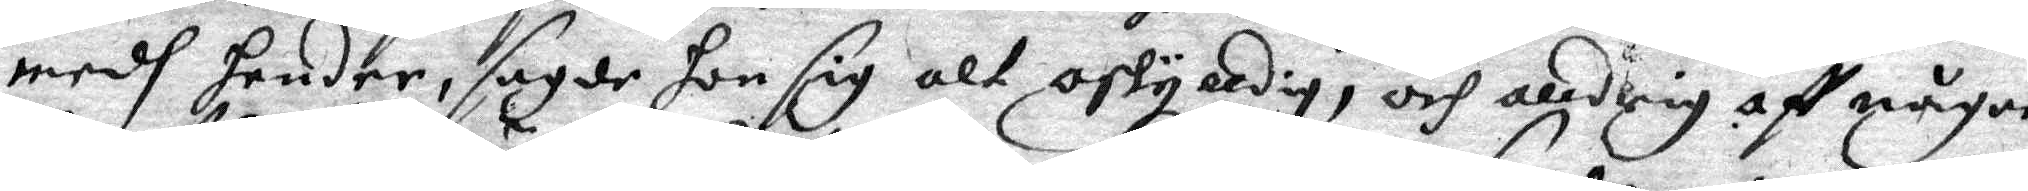medh hender, sagde hon sig alt oskyldig, och alldrig aff någon
